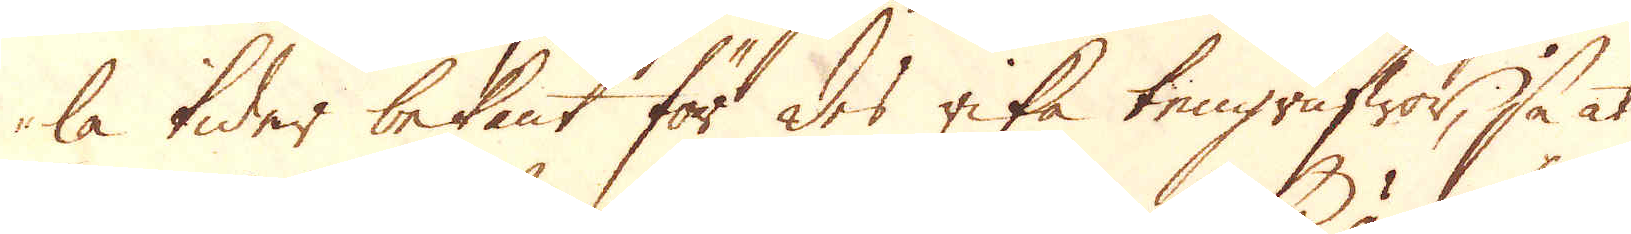la tider bekant för des rika tengrufwor, så at
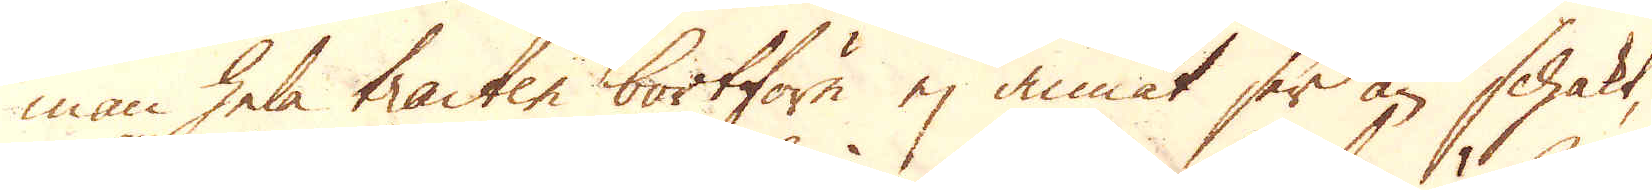man hela tracter bortföre ej annat ser än schakt,
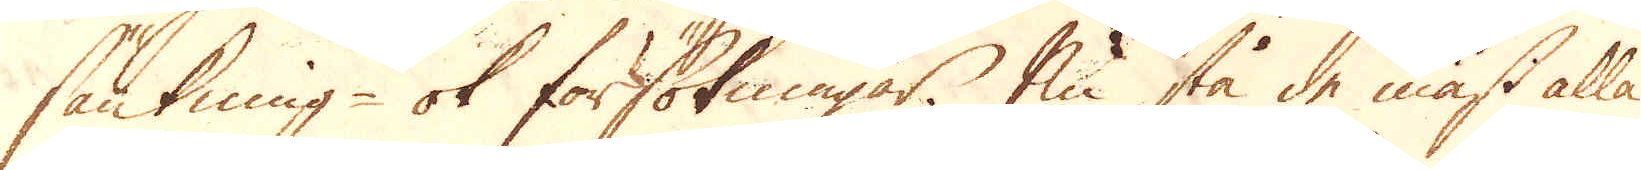sänkning- ok försökningar. Nu stå de mäst alla
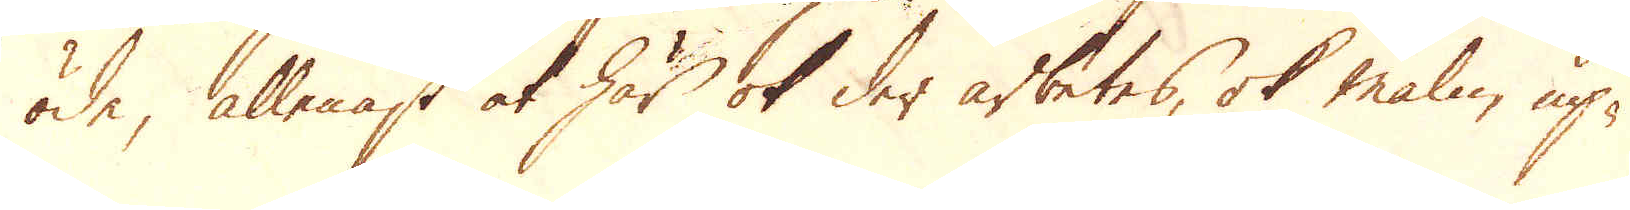öde, allenast at här ok der arbetes, ok malm up-
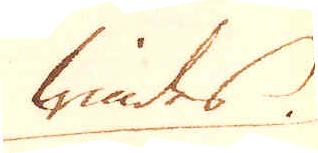windes
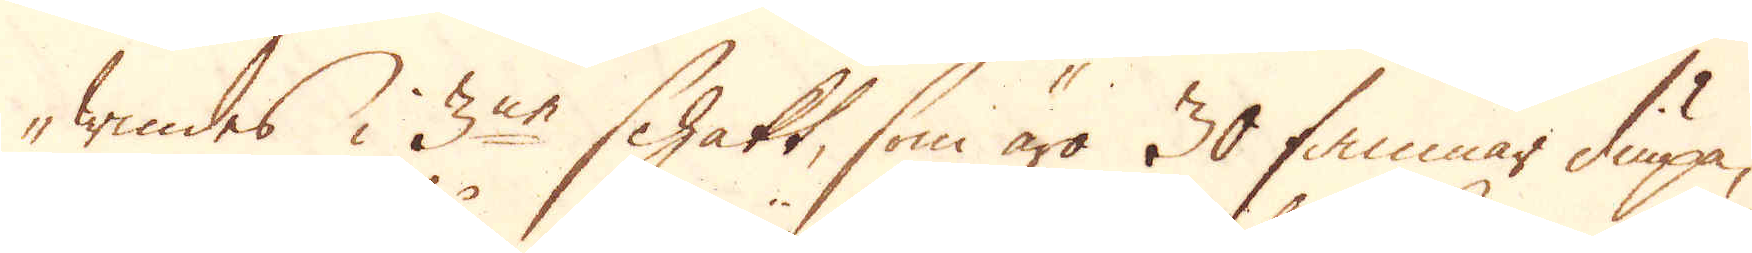windes i 3ne schakt, som äro 30 famnar diupa,
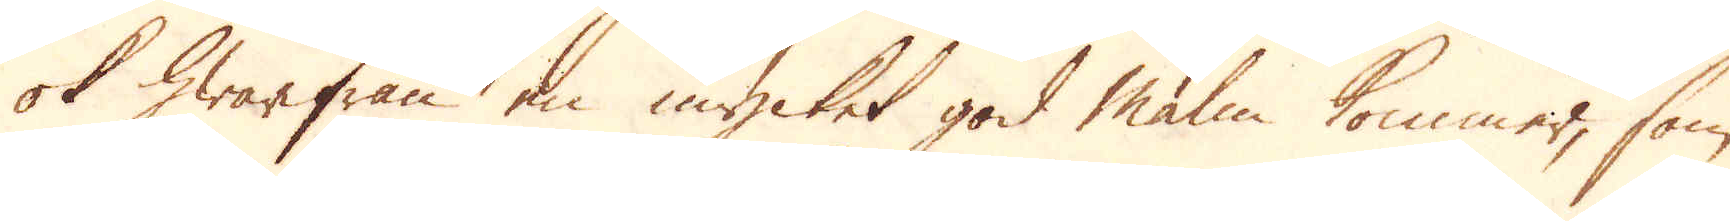ok hwarifrån en mycket god malm kommer, som
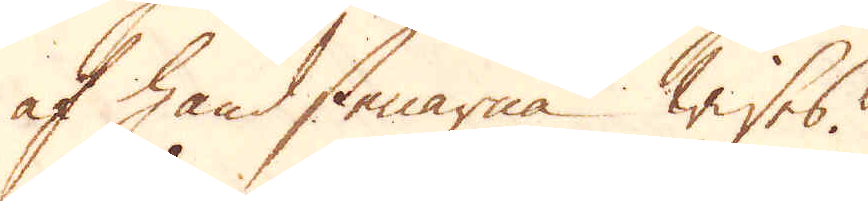af handstenarna wisses.
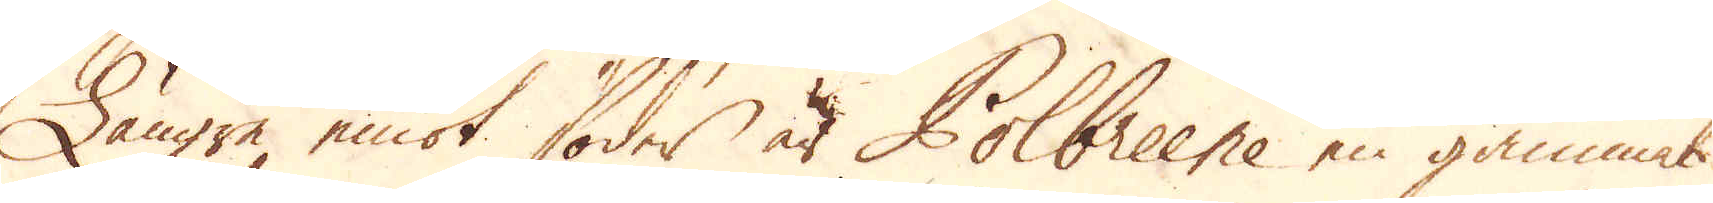Längre emot söder är Polbreene en gammal
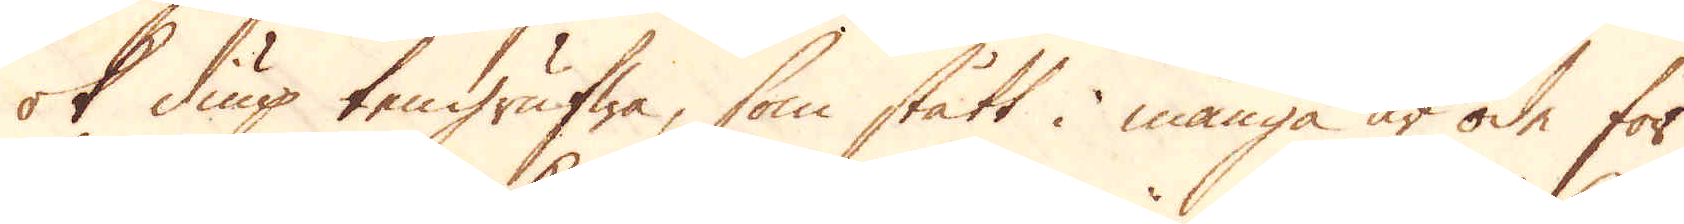ok diup tengrufwa, som stått i många år öde för
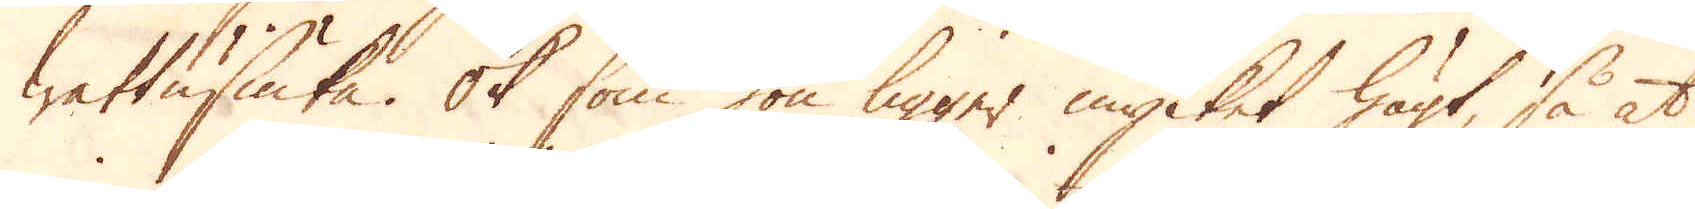wattusiuka. Ok som hon ligger mycket högt, så at
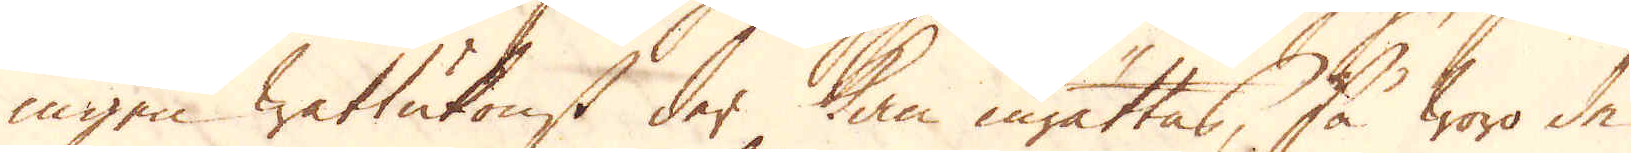ingen wattukonst der kan inrättas, så woro de
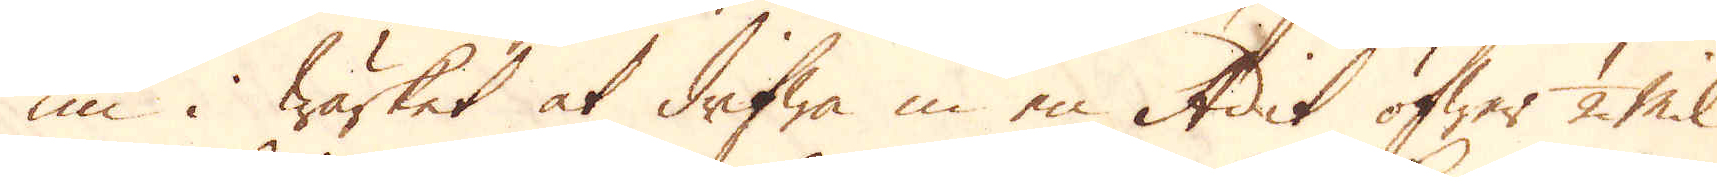nu i wärket at drifwa in en Adit öfwer 1/2 Mil
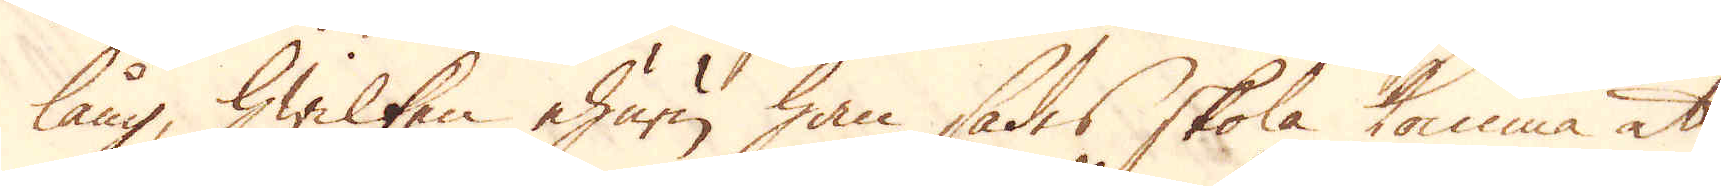lång, hwilken ehuru han sades skola komma at
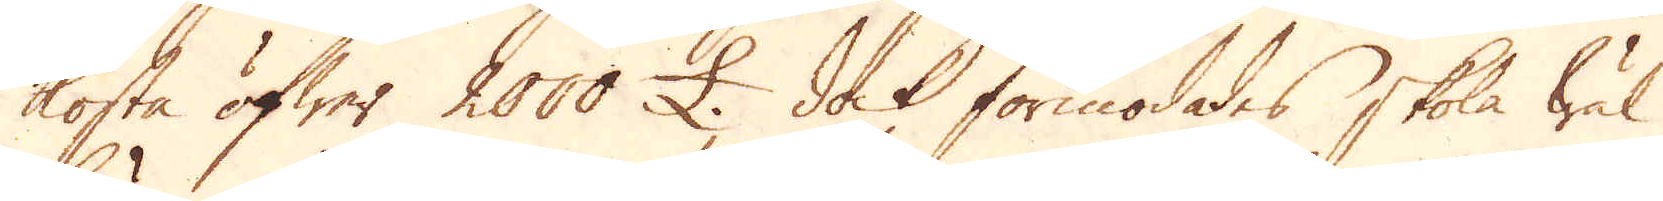kosta öfwer 2000 £. dock förmodades skola wäl
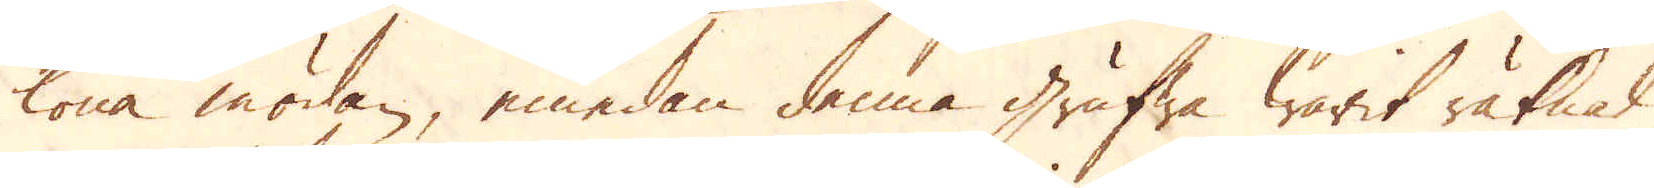löna mödan, emedan denna grufwa warit räknat
